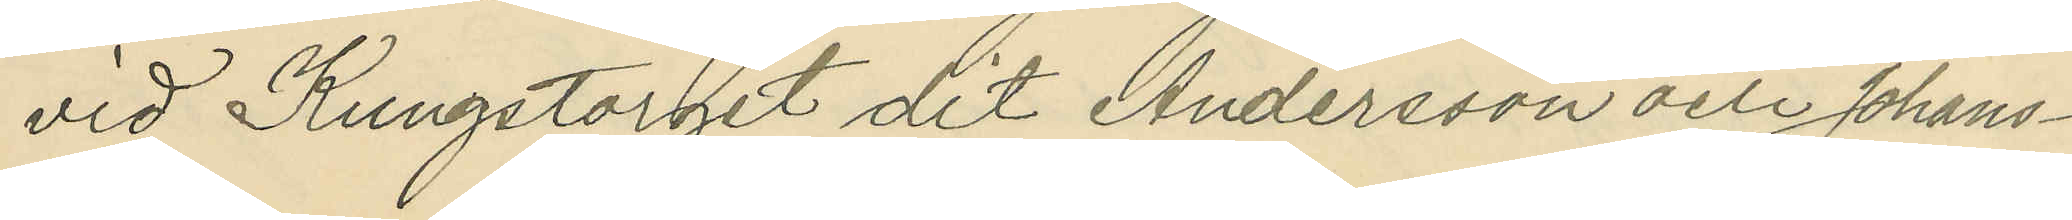vid Kungstorget dit Andersson och Johans¬
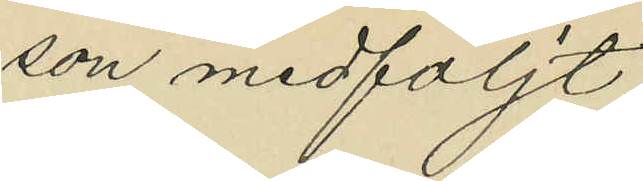son medföljt;
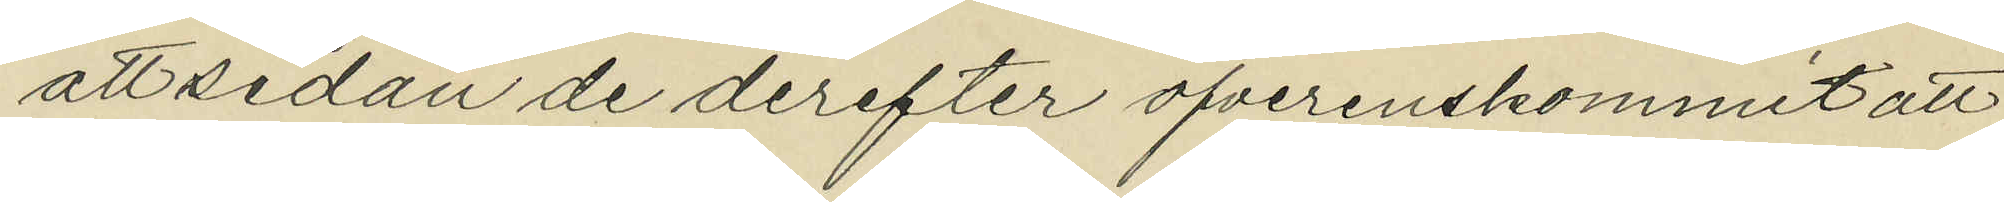att sedan de derefter öfverenskommit att
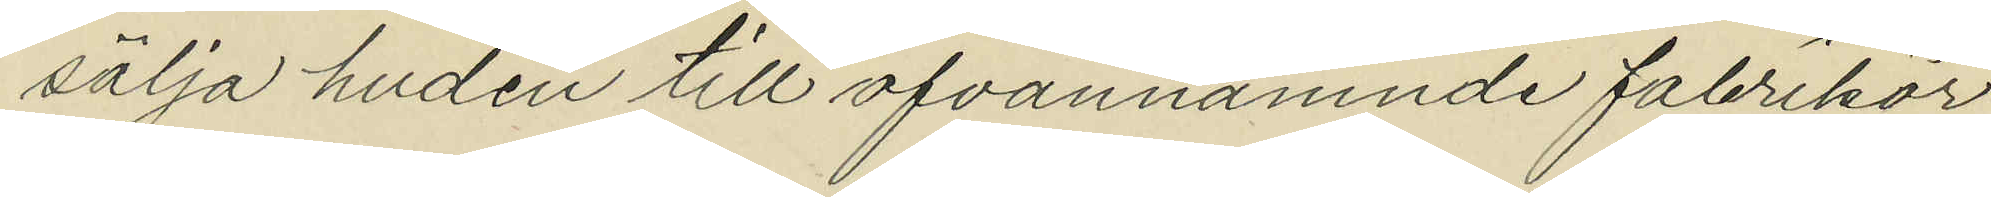sälja huden till ofvannämnde fabrikör
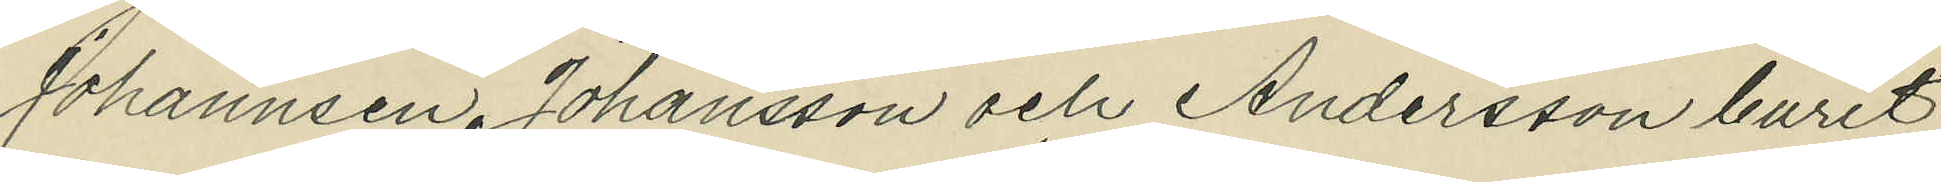Johannsen, Johansson och Andersson burit
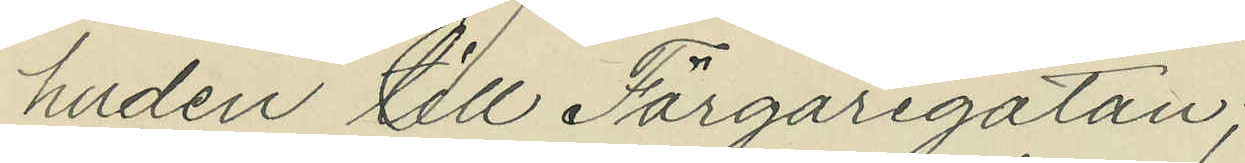huden till Färgaregatan;
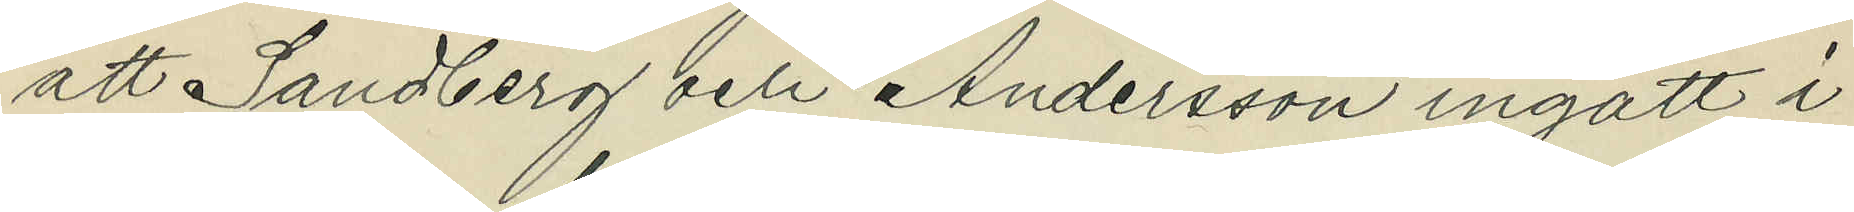att Sandberg och Andersson ingått i
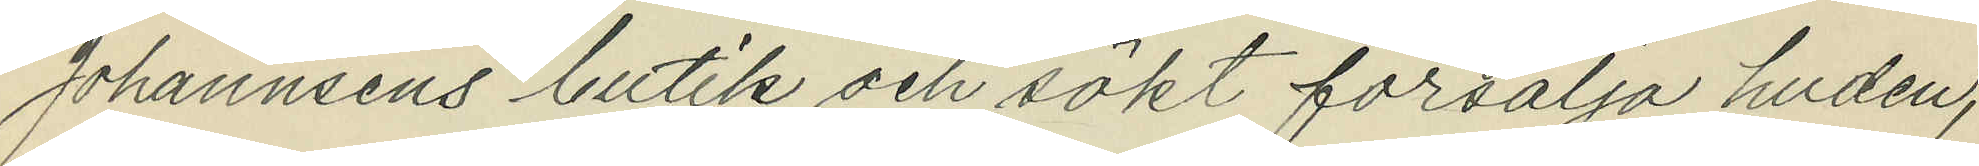Johannsens butik och sökt försälja huden,
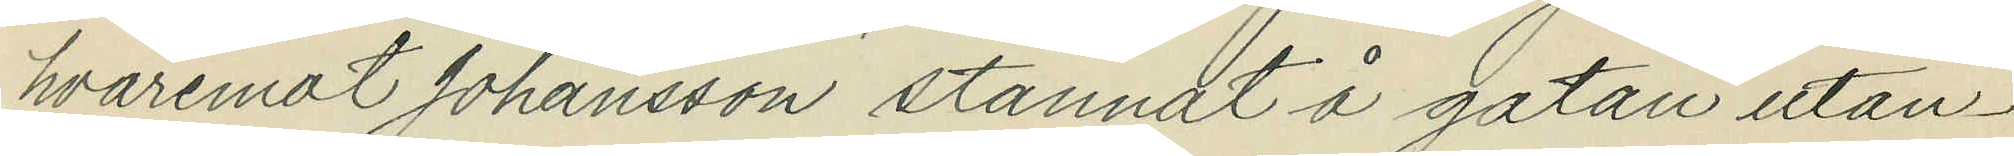hvaremot Johansson stannat å gatan utan¬
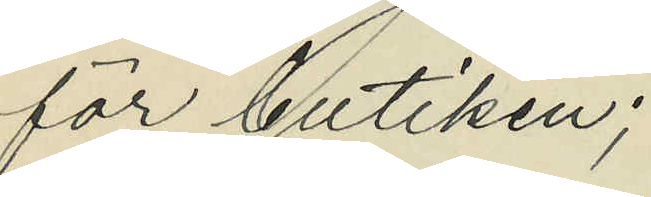för butiken;
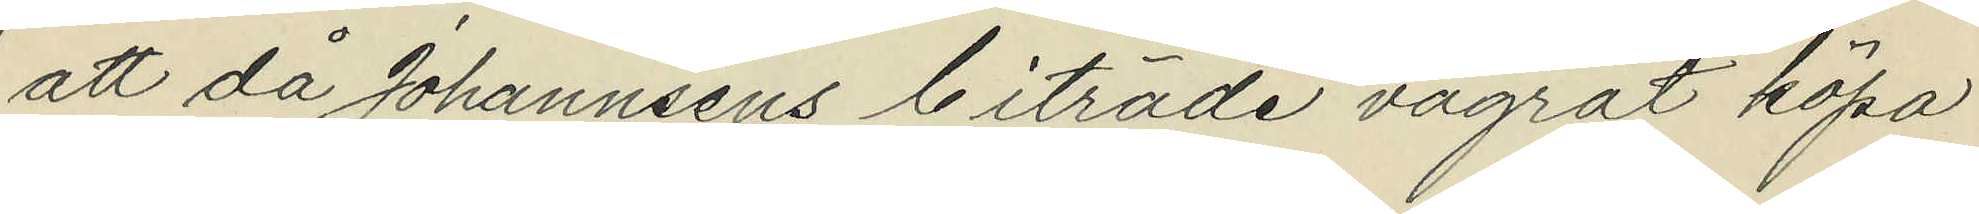att då Johannsens biträde vägrat köpa
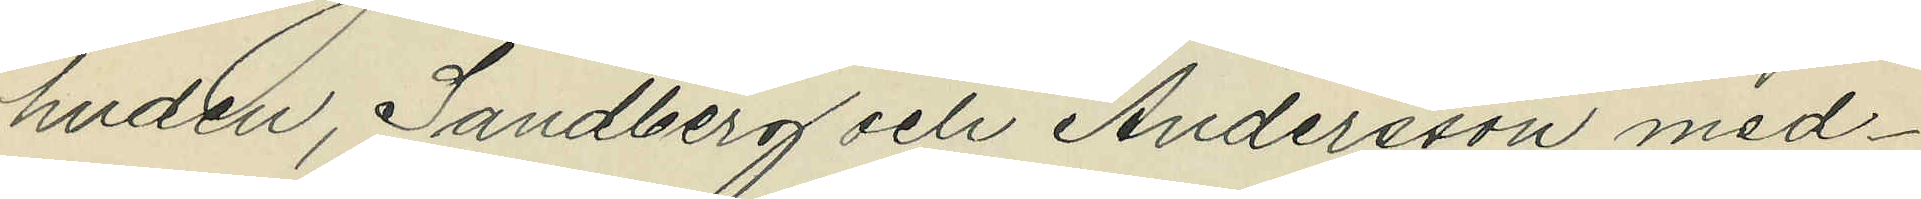huden, Sandberg och Andersson med¬
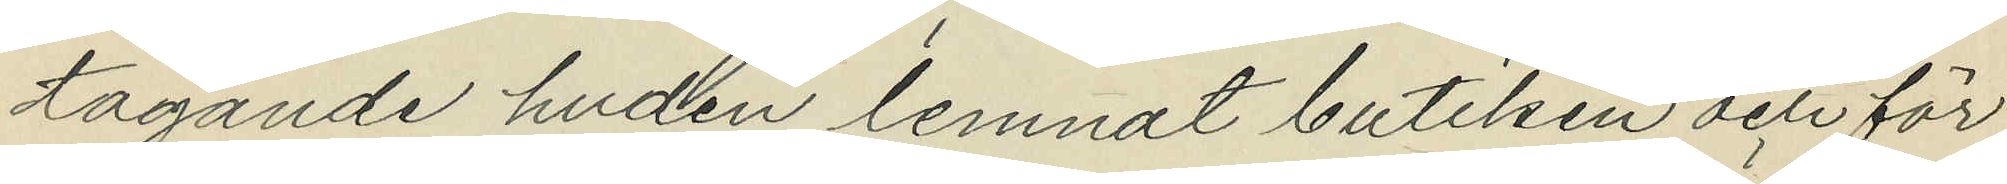tagande huden lemnat butiken och för
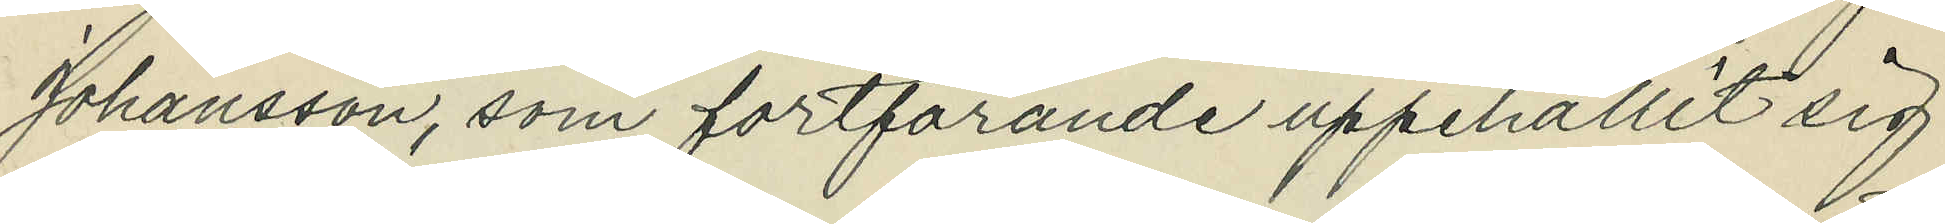Johansson, som fortfarande uppehållit sig
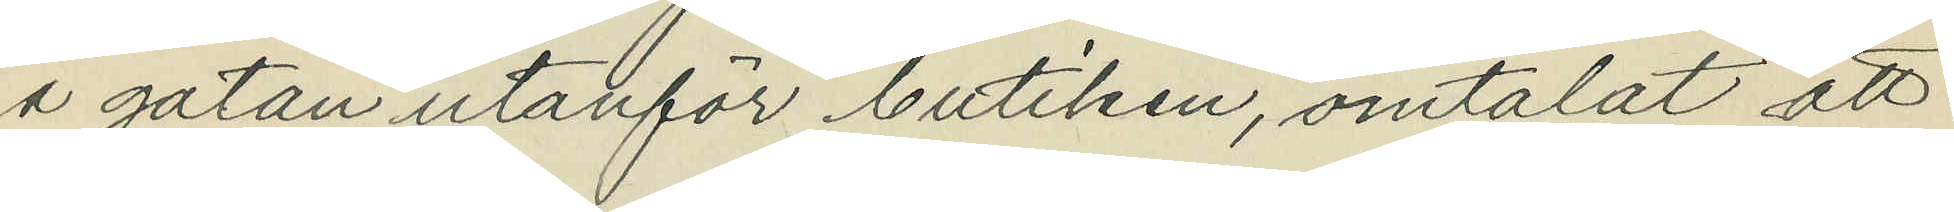å gatan utanför butiken, omtalat att
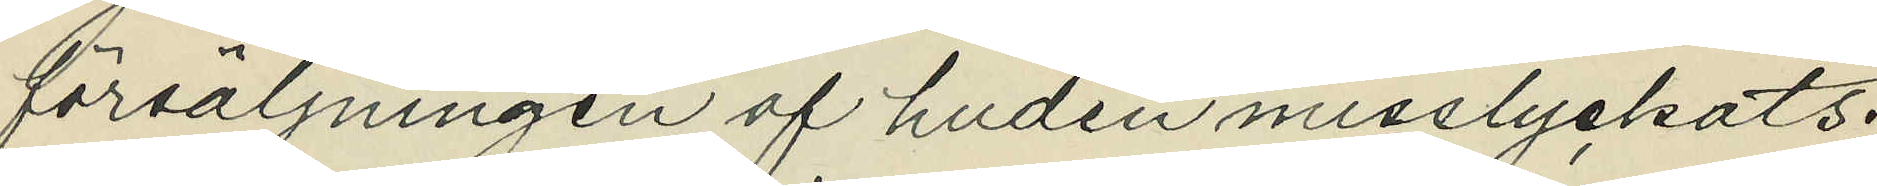försäljningen af huden misslyckats;
